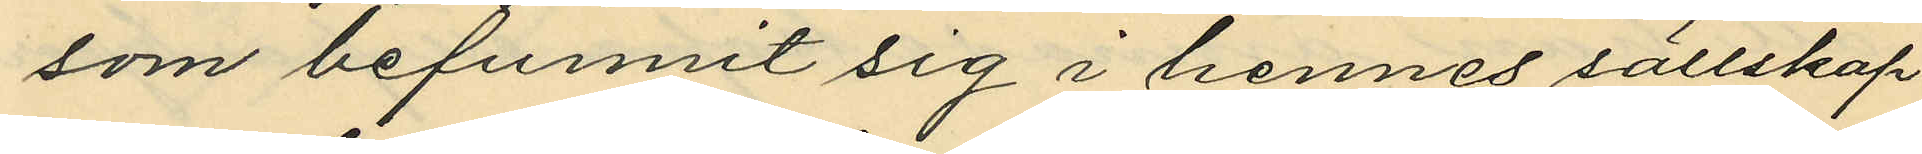som befunnit sig i hennes sällskap
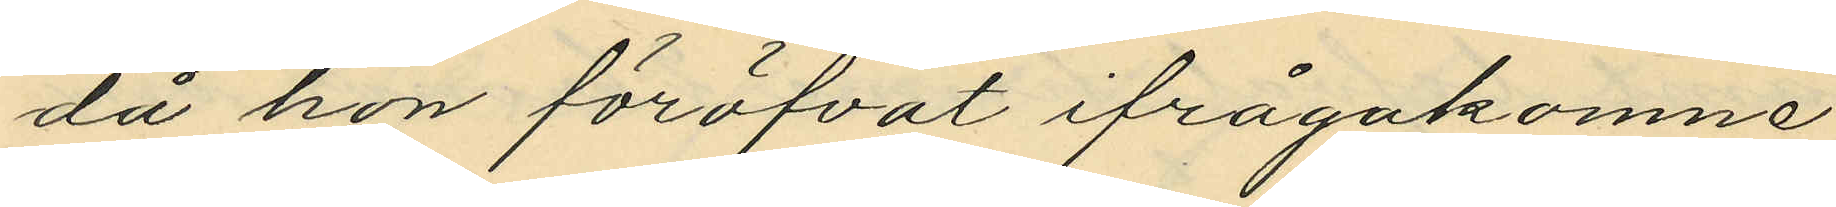då hon föröfvat ifrågakomne
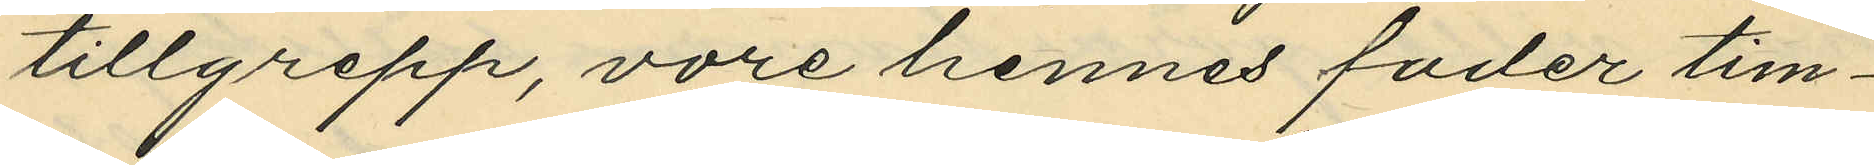tillgrepp, vore hennes fader tim¬
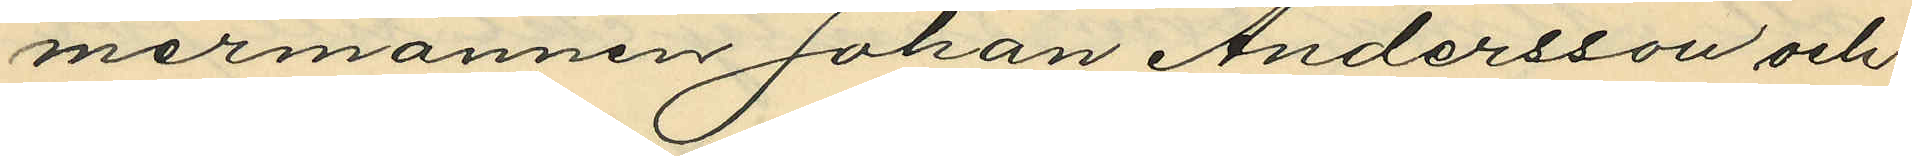mermannen Johan Andersson och
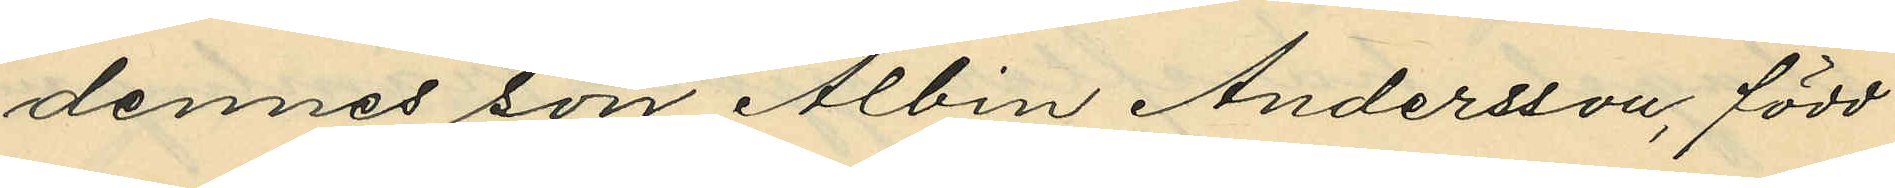dennes son Albin Andersson, född
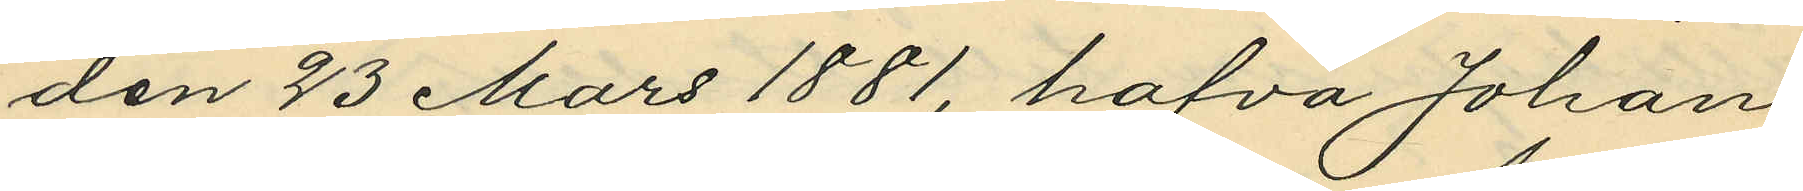den 23 Mars 1881, hafva Johan
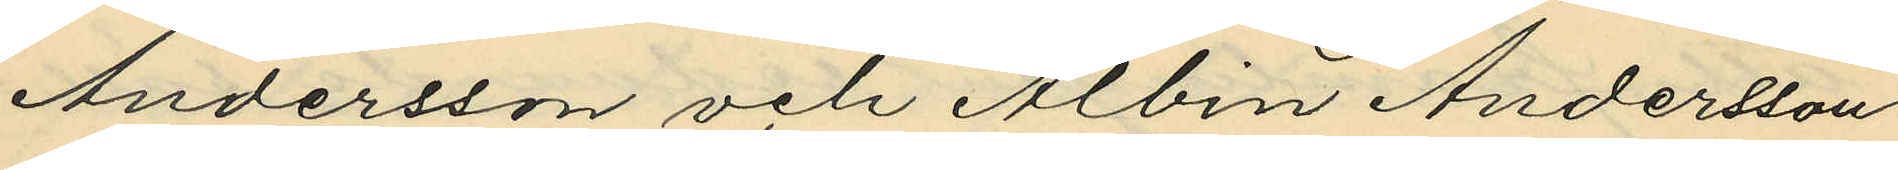Andersson och Albin Andersson
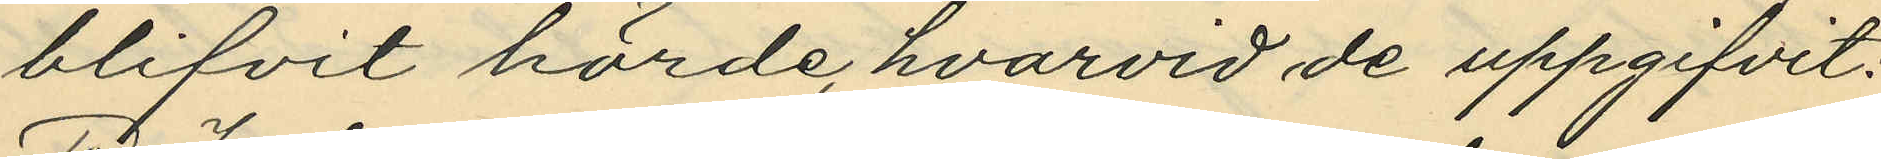blifvit hörde, hvarvid de uppgifvit;
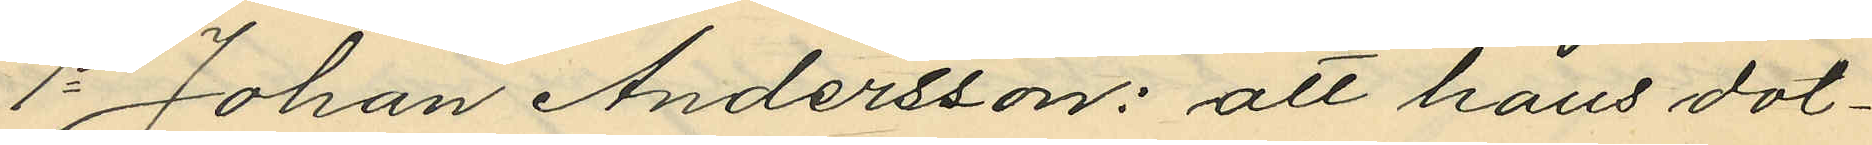1o Johan Andersson: att hans dot¬
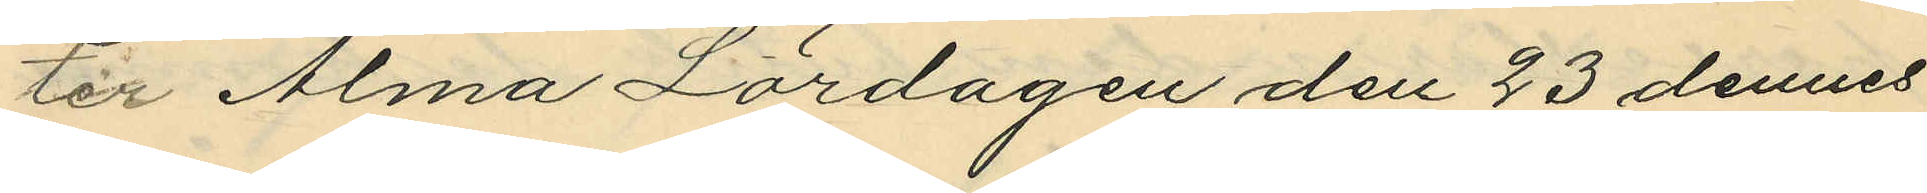ter Alma Lördagen den 23 dennes
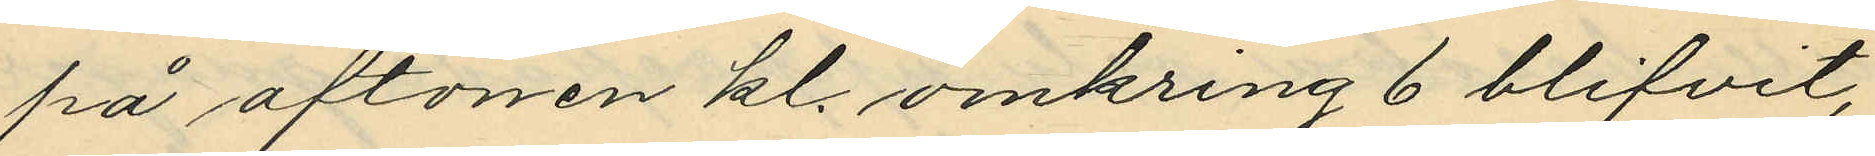på aftonen kl. omkring 6 blifvit,
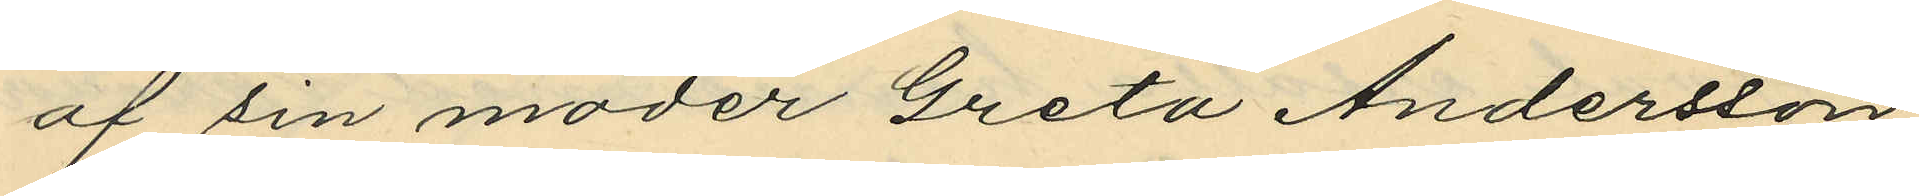af sin moder Greta Andersson
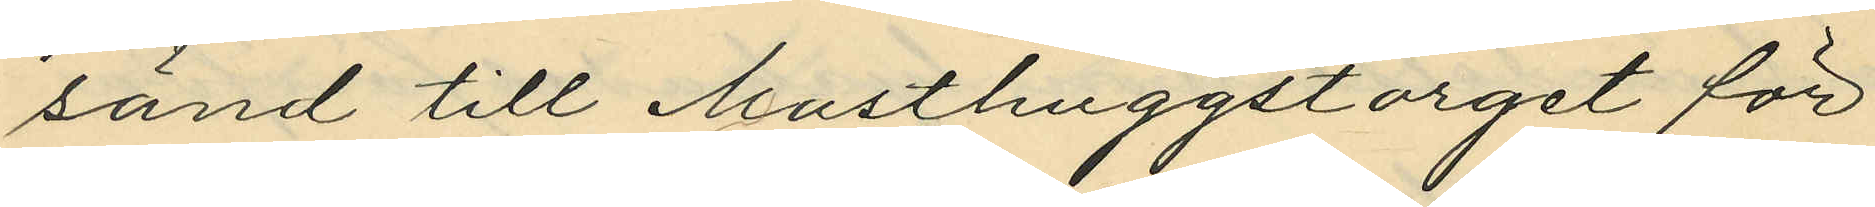sänd till Masthuggstorget för
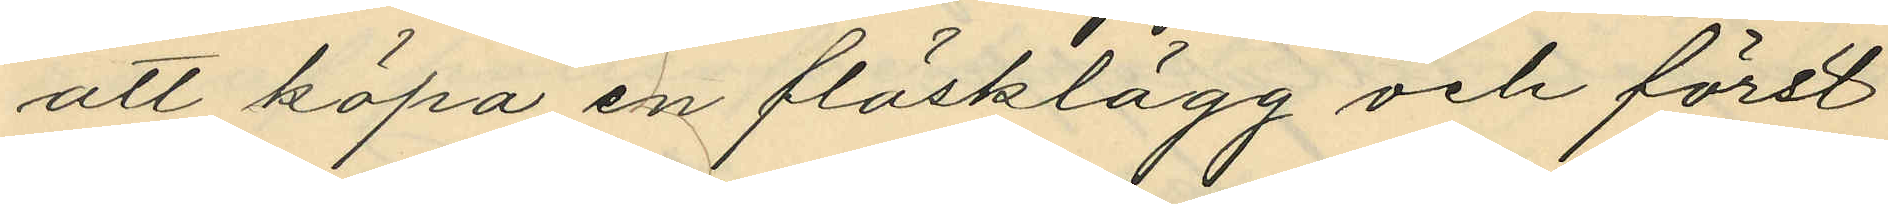att köpa en fläsklägg och först
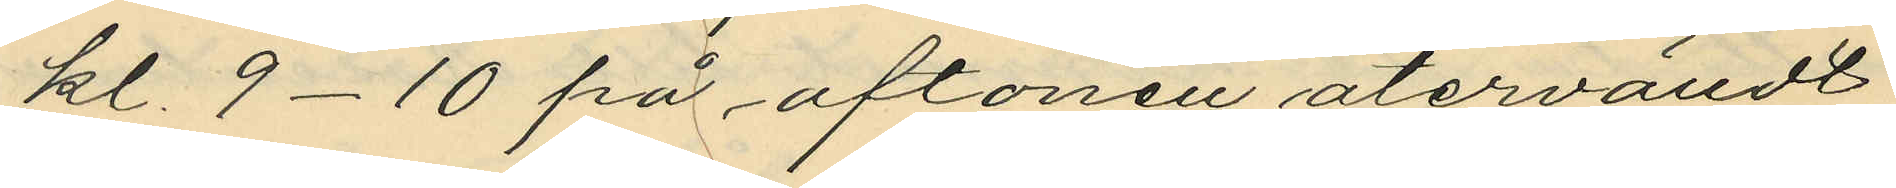kl. 9-10 på aftonen återvändt
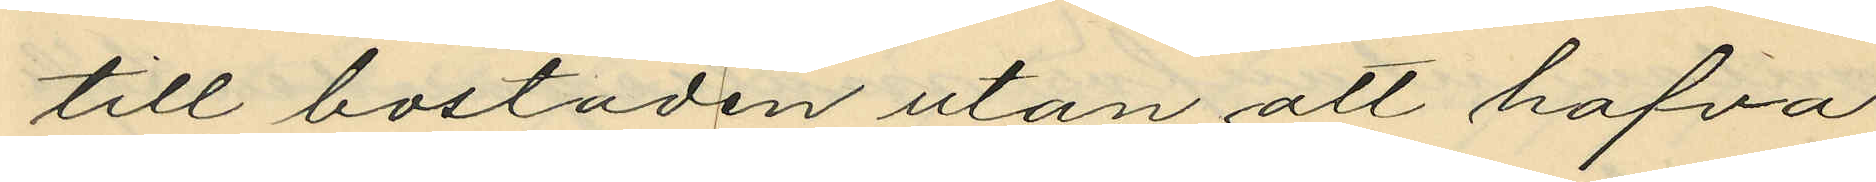till bostaden utan att hafva
